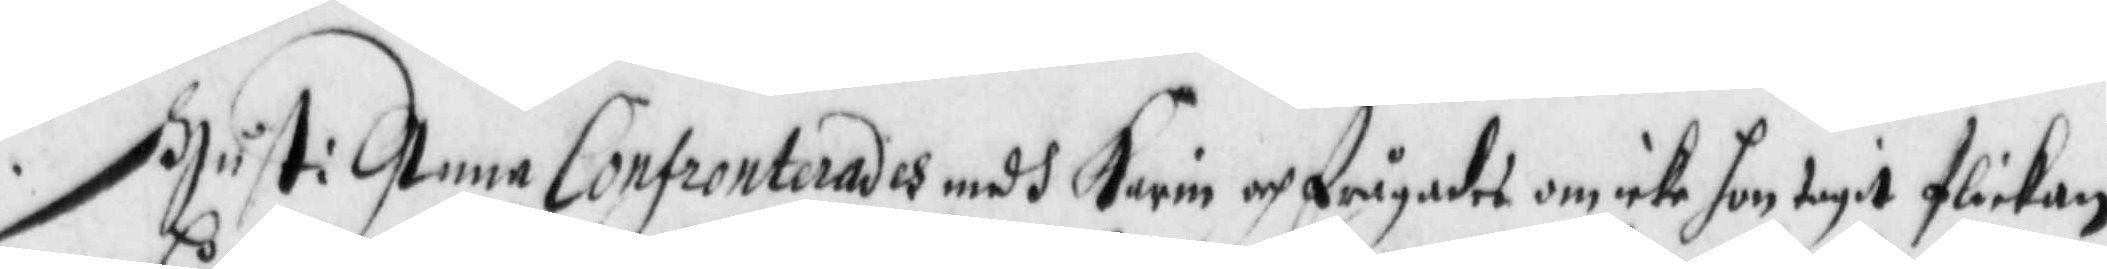Hust: Anna Confronterades medh Karin och frågades om icke hon tagit flickan
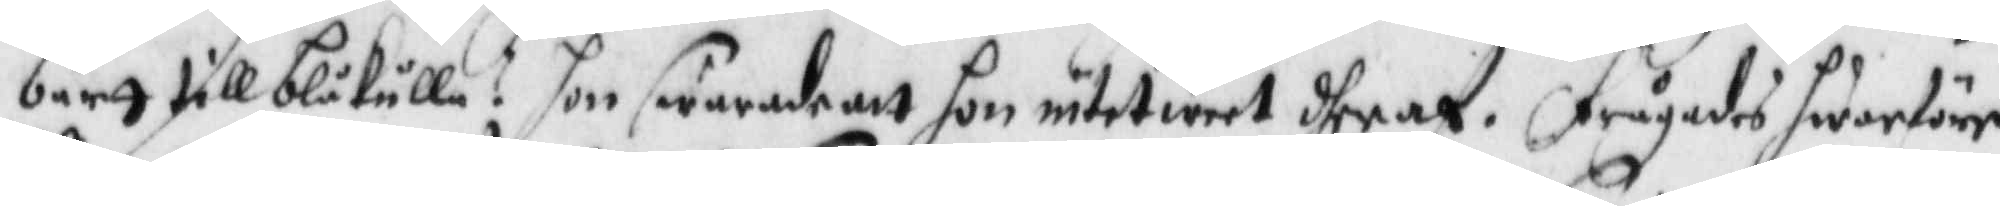bårtt till blåkulla? hon swarade att hon intet weet dheraf. frågades hwarföre
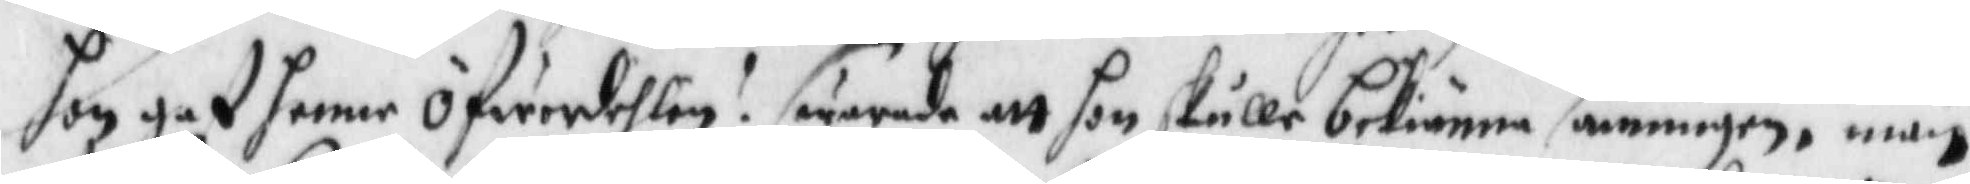hon gaf hennen öfwerdehlen? swarade att hon skulle bekiänna sanningen, män
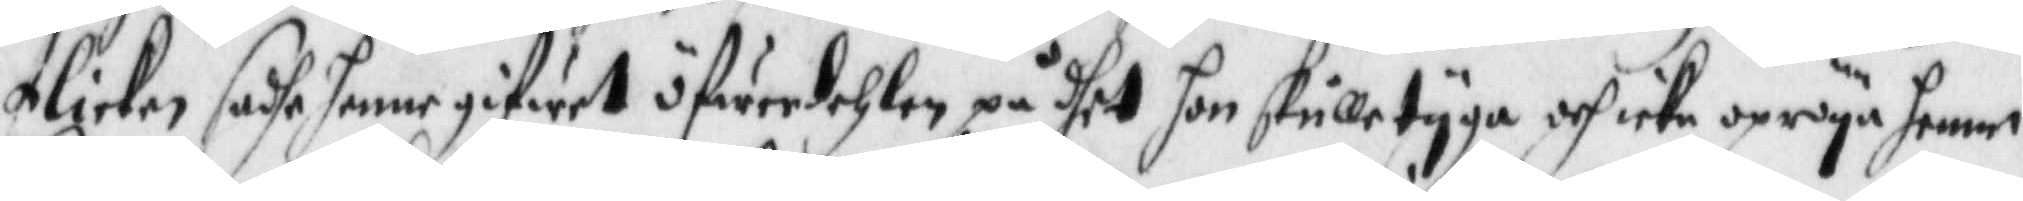flickan sadhe henne gifwet henne öfwerdehlen, att hon skulle tyga, och icke opröya henne,
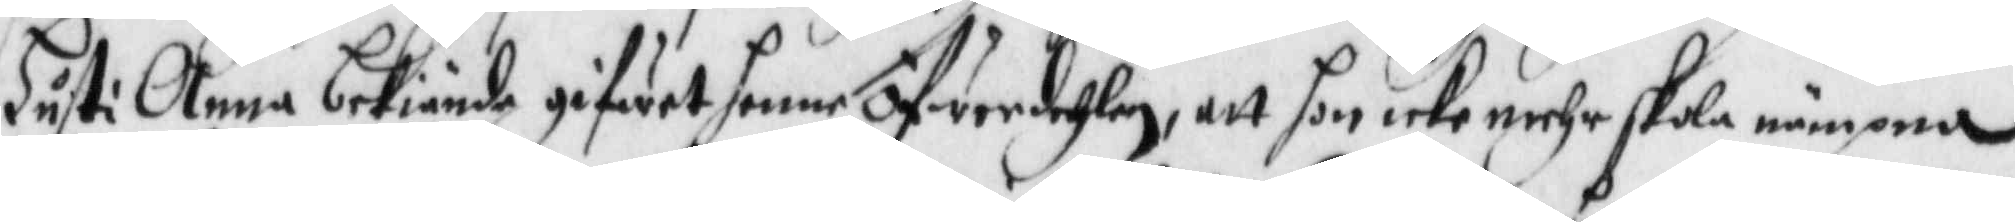Hust: Anna bekiände gifwet hennen öfwerdehlen, att hon icke mehr skola nämpna
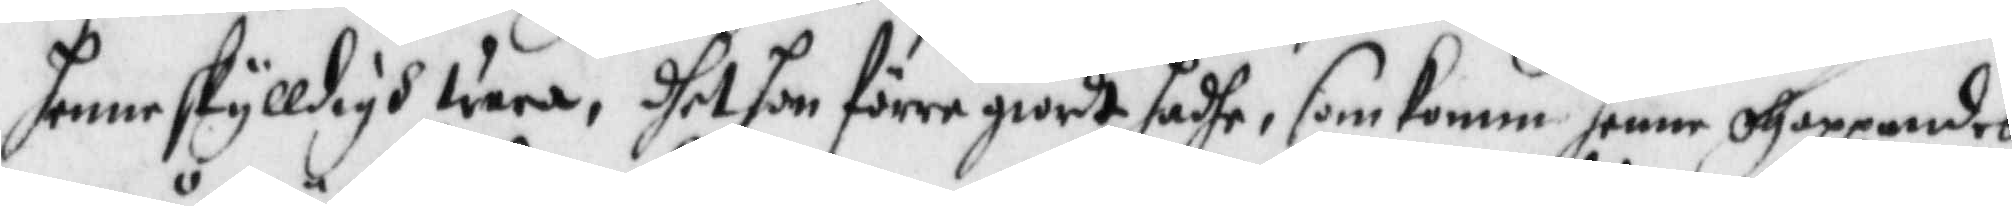henne skylldigh wara, dhet hon förre giordt hadhe, som komm henne ohappandes
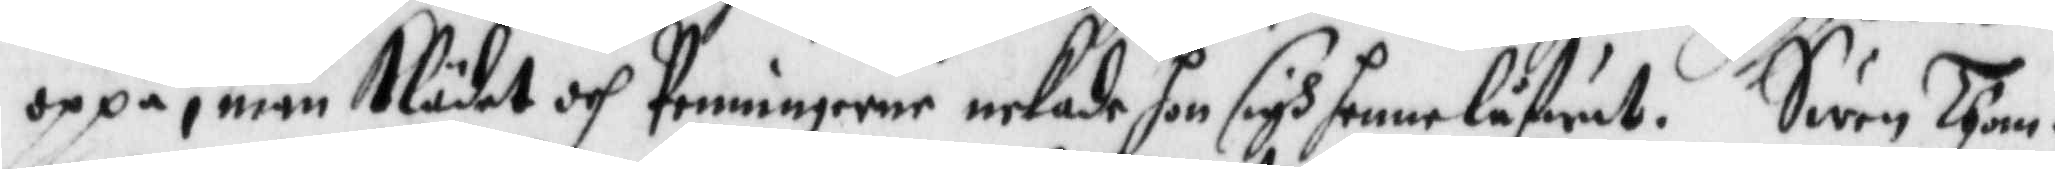oppå, män Klädet och Penningarne nekade hon sigh henne låfwat. Swen Thom¬
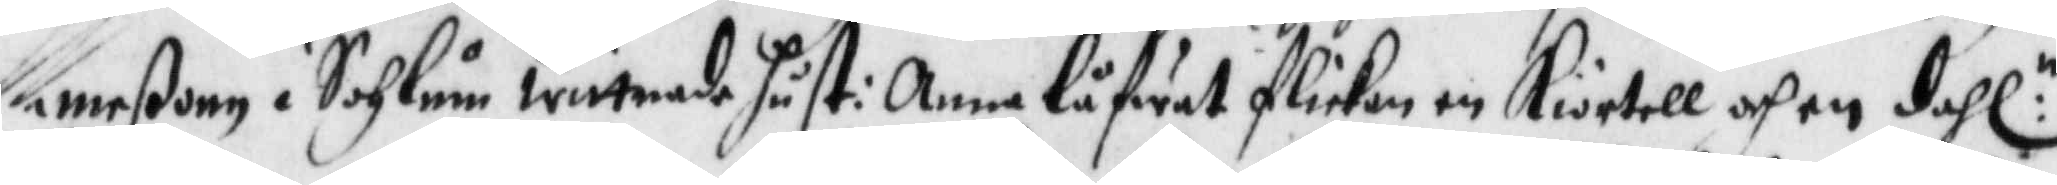meßonn i Sohlum wittnade hust: Anna låfwat flickan en Kiortell och en dahl:
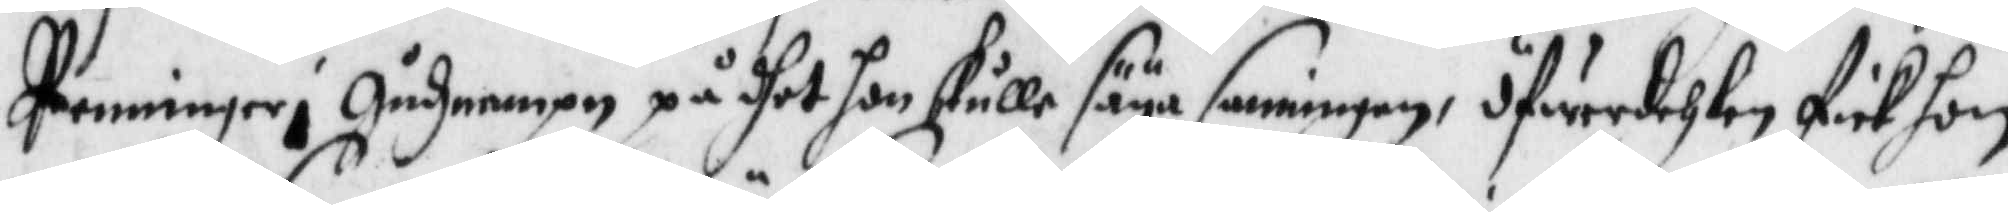Penningar i gudsnampn på dhet hon skulle säya sanningen, öfwerdehlen fick hon
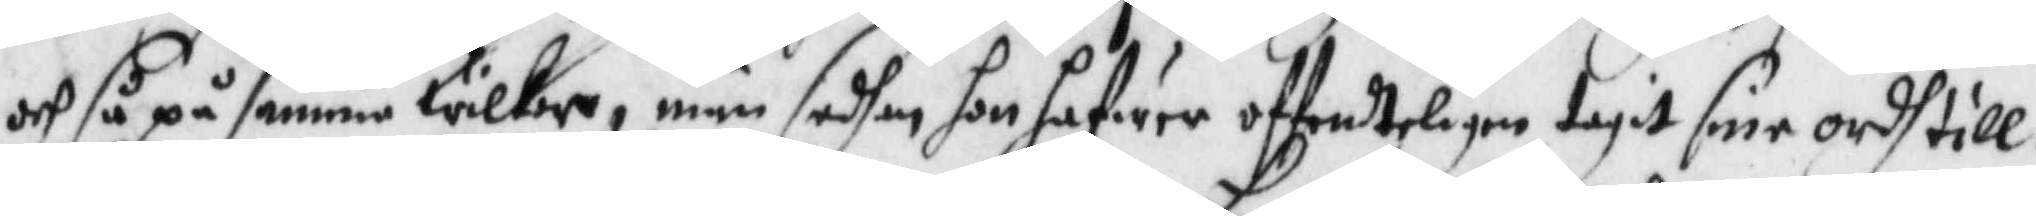och så på samma wilkor, män sedhan ho hafwer offenteligen tagit sine ordh till¬
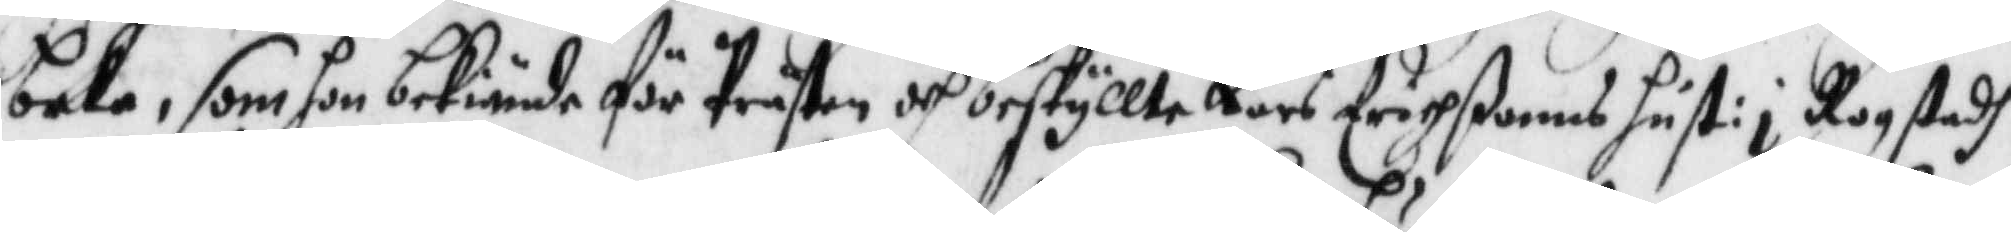baka, som hon bekiände för Prästen och beskyllte Lars Erichßonns hust: i Rogstadh,
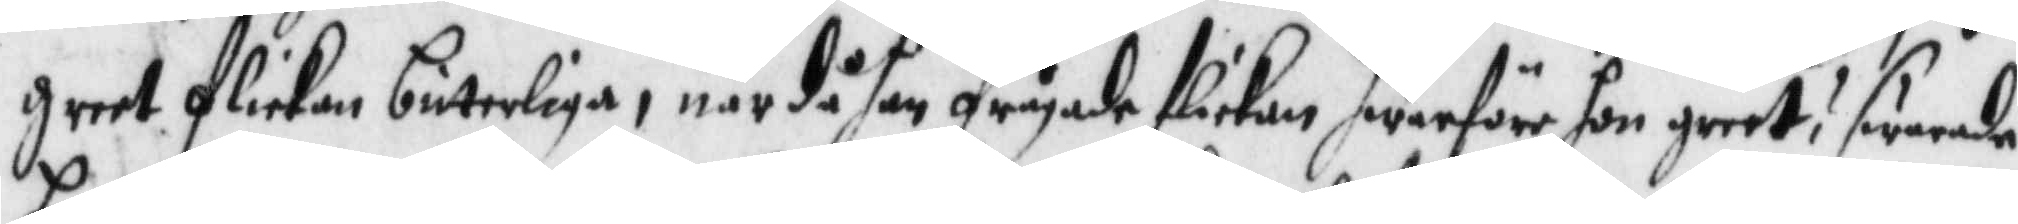greet flickan bitterliga, när då han frågade flickan hwarföre hon greet? swarade
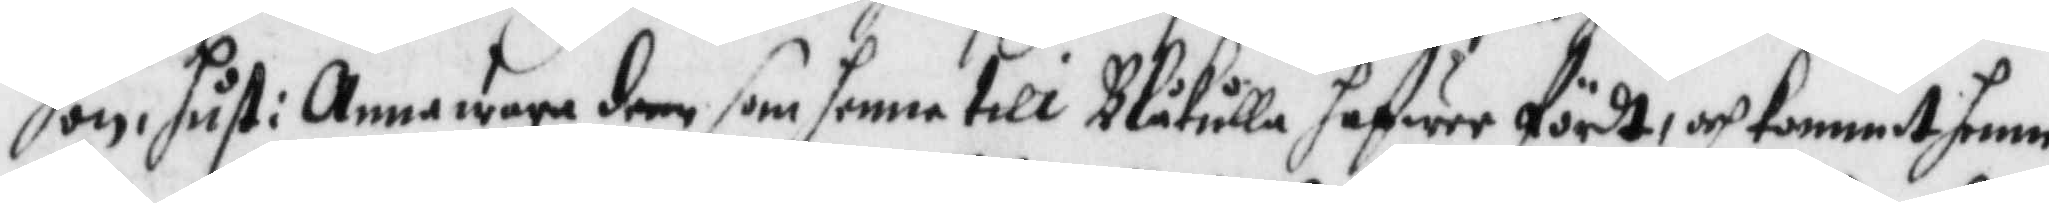hon, hust: Anna wara denn som hennen till Blåkulla hafwerfördt, och kommit henne
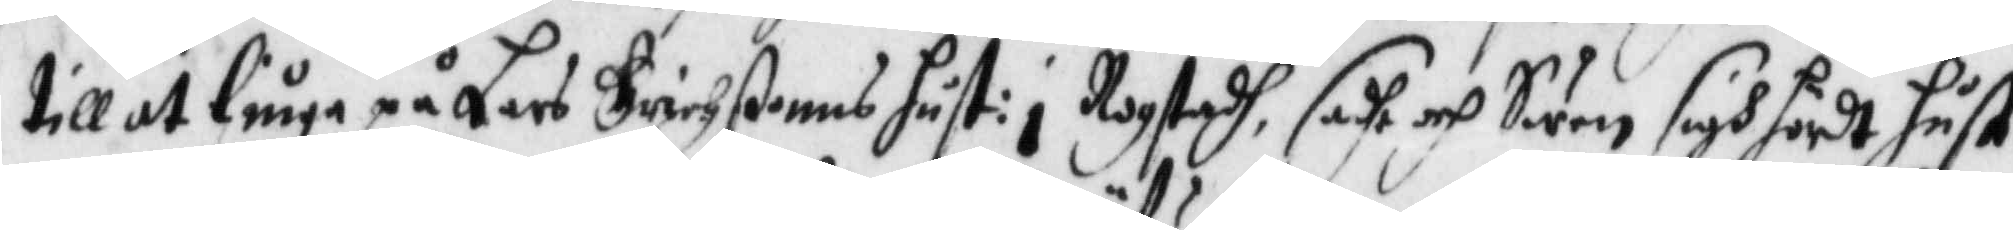till at liuga på Lars Erichßonns hust: i Rogstadh, sadhe och Swen sigh hördt hust:
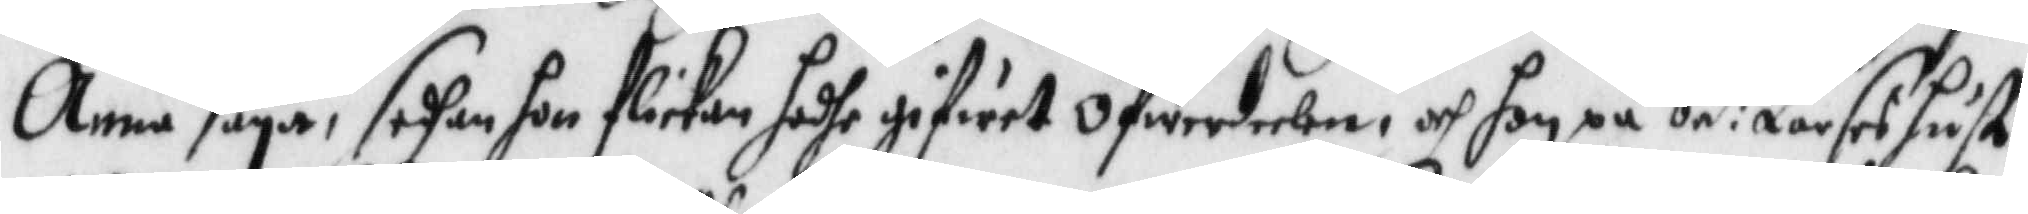Anna säya, sedhan hon flickan hadhe gifwit öfwerdelen, och hon på be:de Lars Hust:
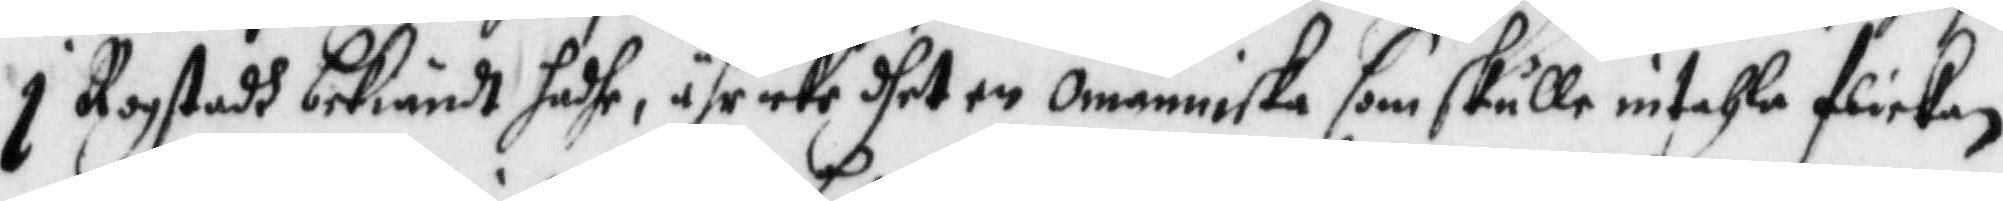i Rogstadh bekiändt hadhe, ähr icke dhet en omänniska som skulle intahla flickan
